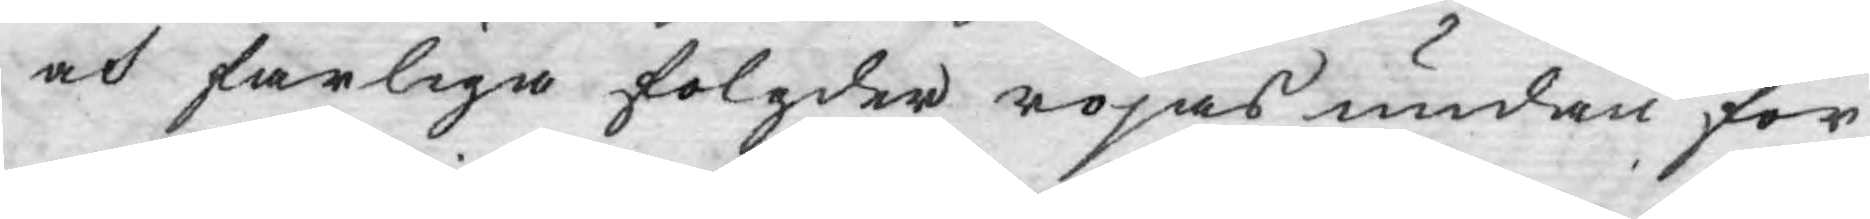och farliga folgder röjas undan för
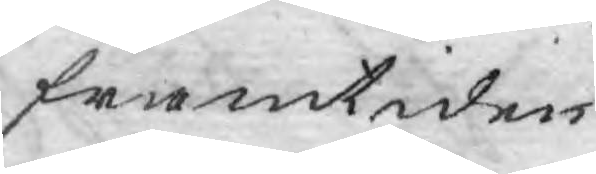framtiden.
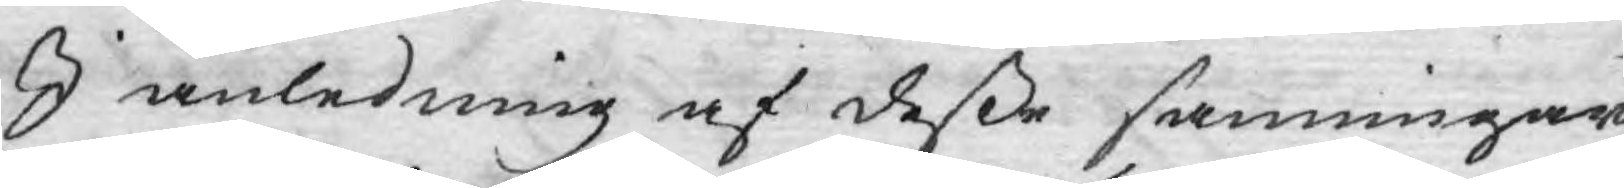I anledning af deße sanningar
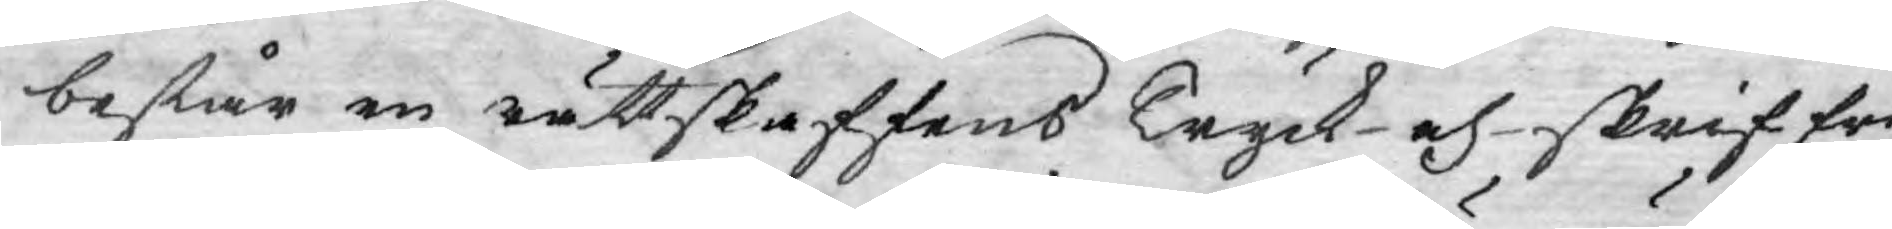består en rättskaffens Tryck-och- skriffri¬
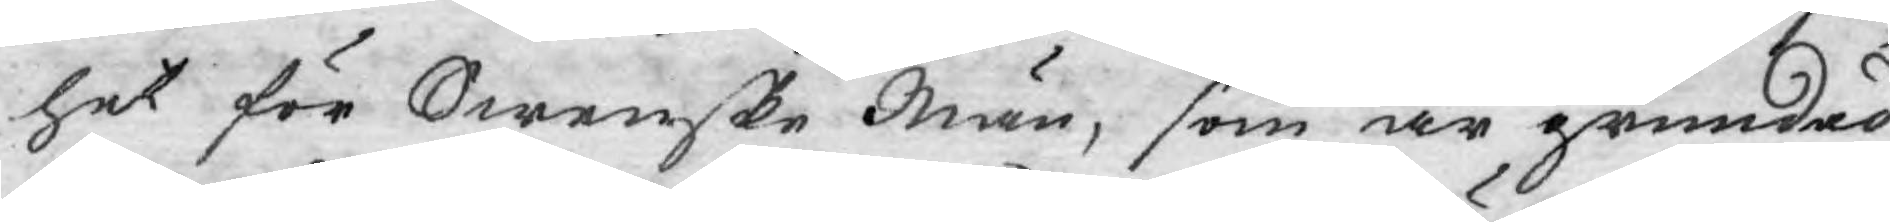het för Swenske Män, som är grundad
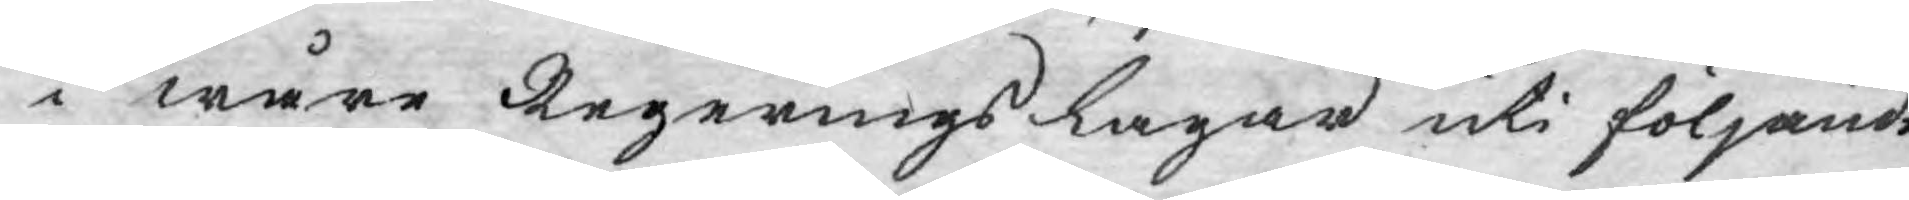i wåre Regerings Lagar uti följande
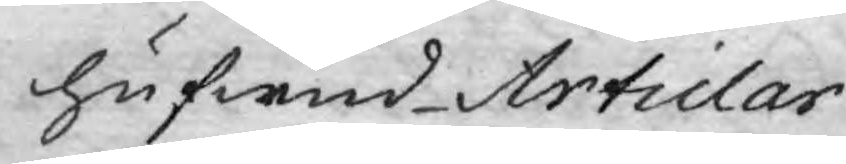hufwud Articlar.
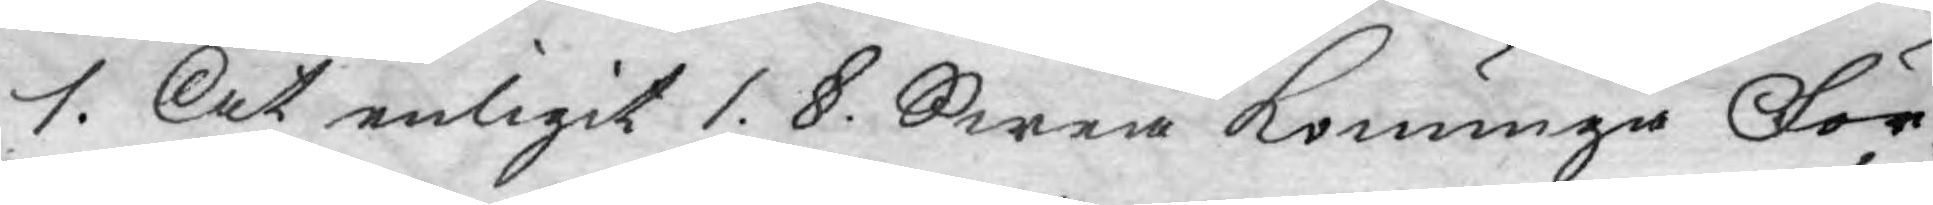1. At enligit 1. §. Swea Konunga För¬
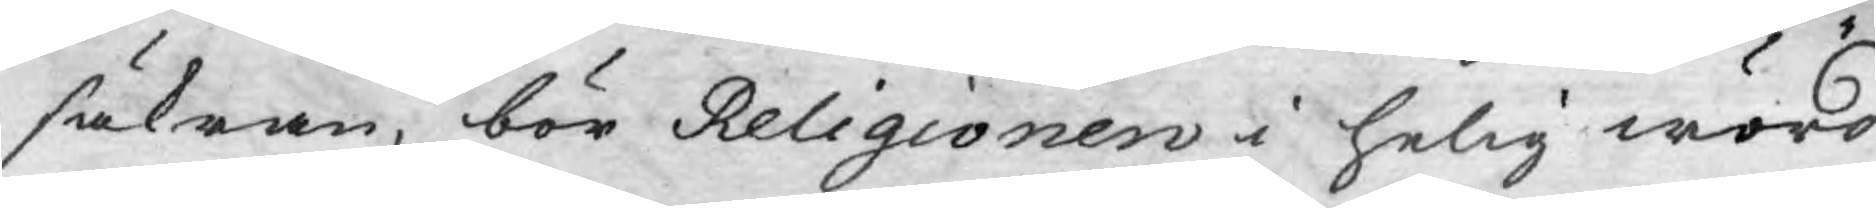säkran, bör Religionen i helig wörd¬
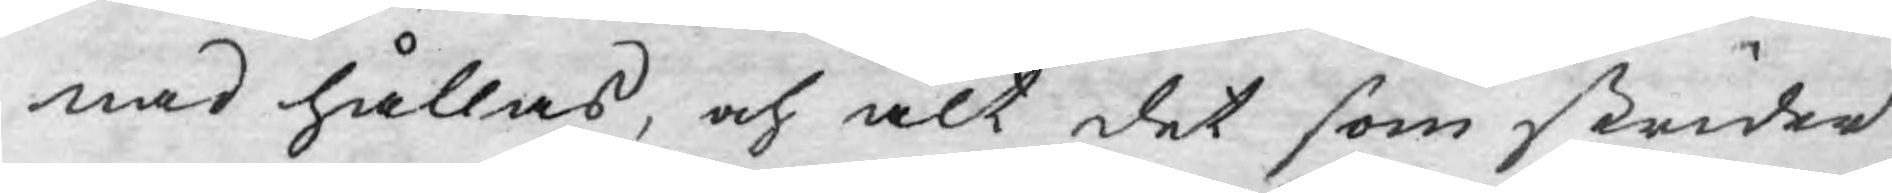nad hållas, och alt det som strider
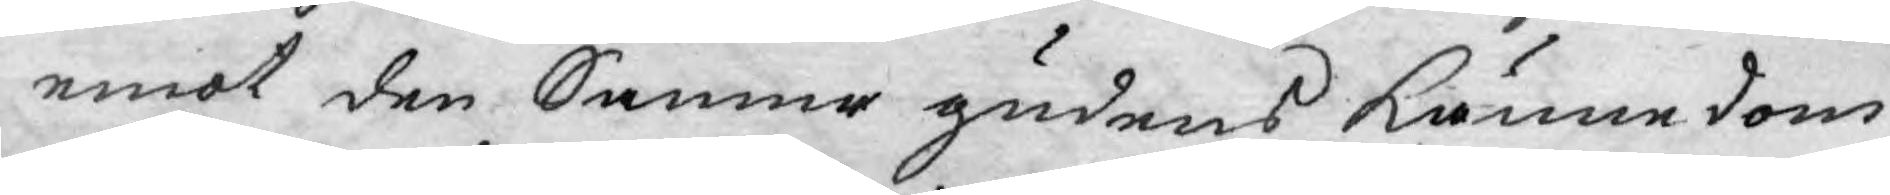emot den Sanna gudens kännedom
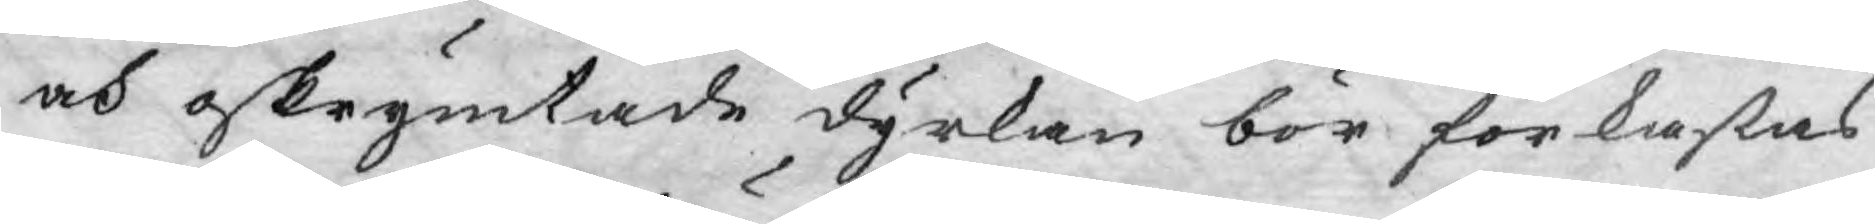och oskrymtade dyrkan bör förkastas
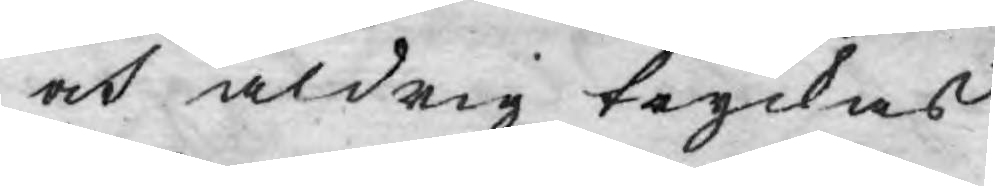och aldrig tryckas.
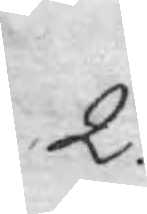2.
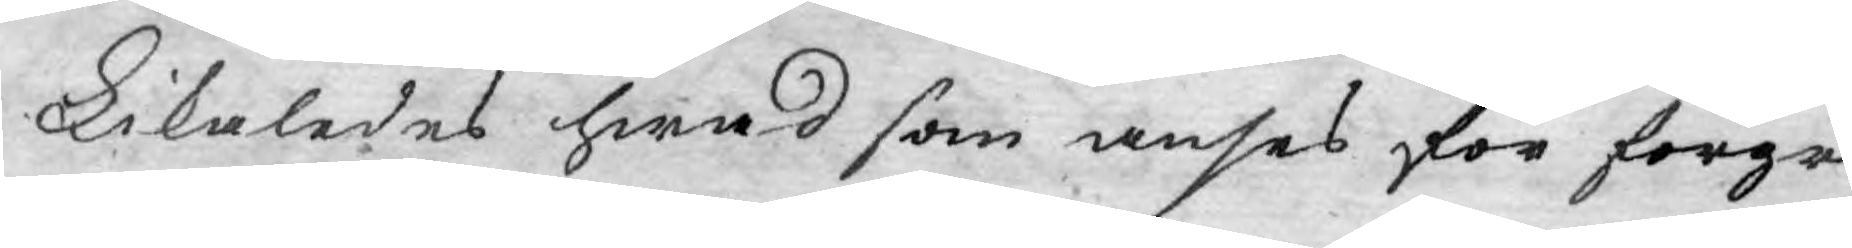Likaledes hwad som anses för förgri¬
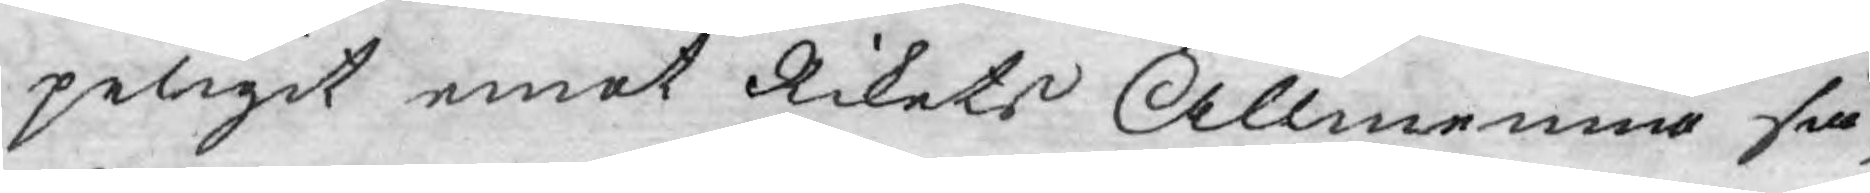peligit emot Rikets Allmenna sä¬
